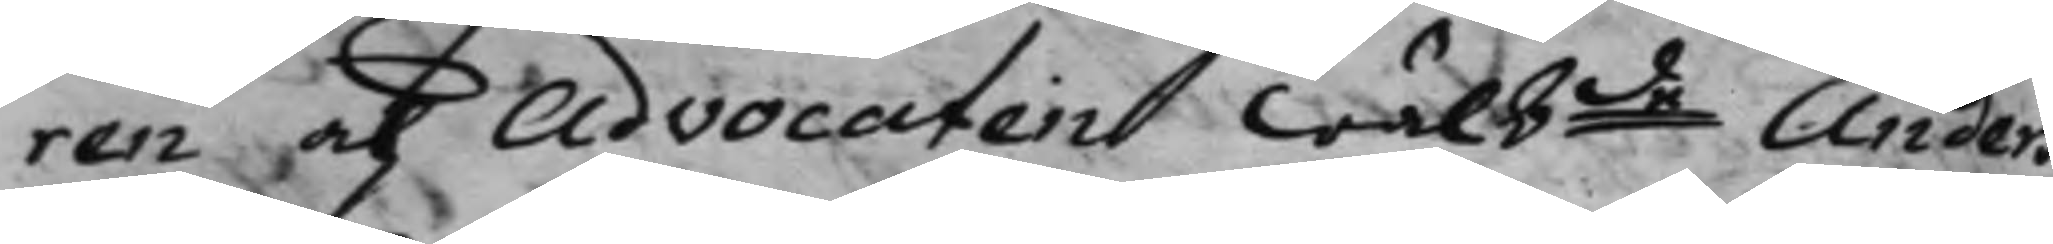ren och Advocaten wälbde Anders 
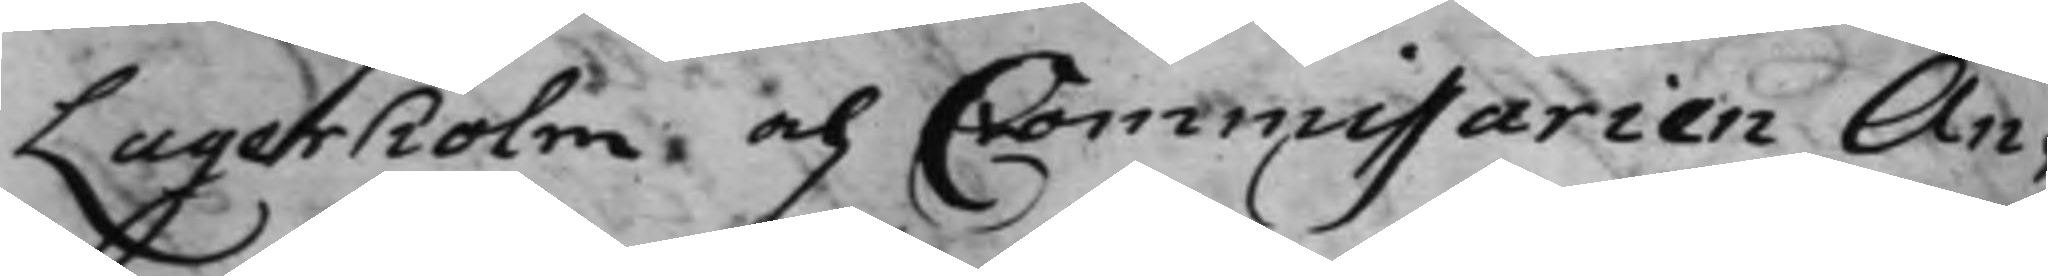Lagerholm, och Commissarien An¬
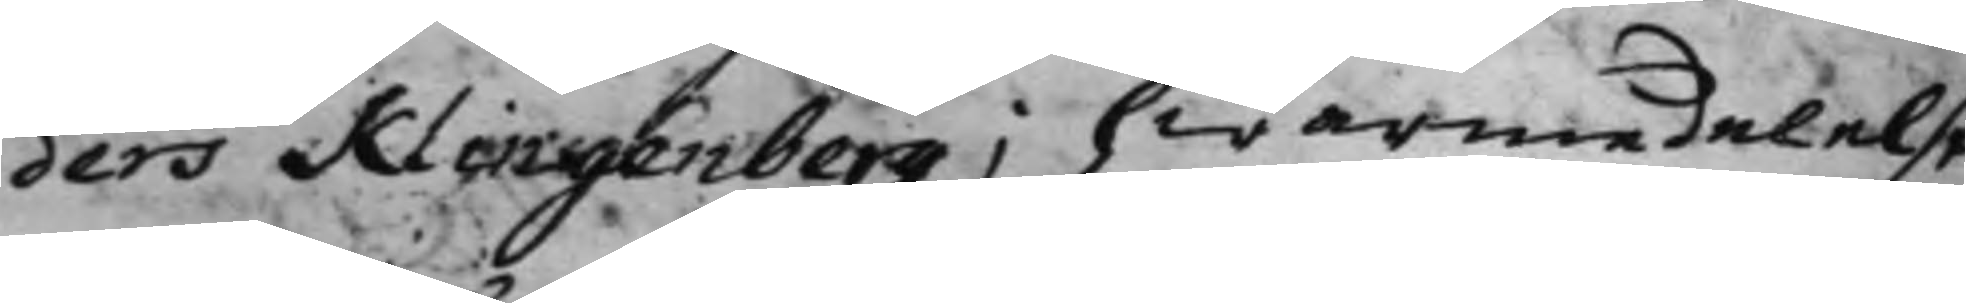ders Klingenberg; hwarmedelelst
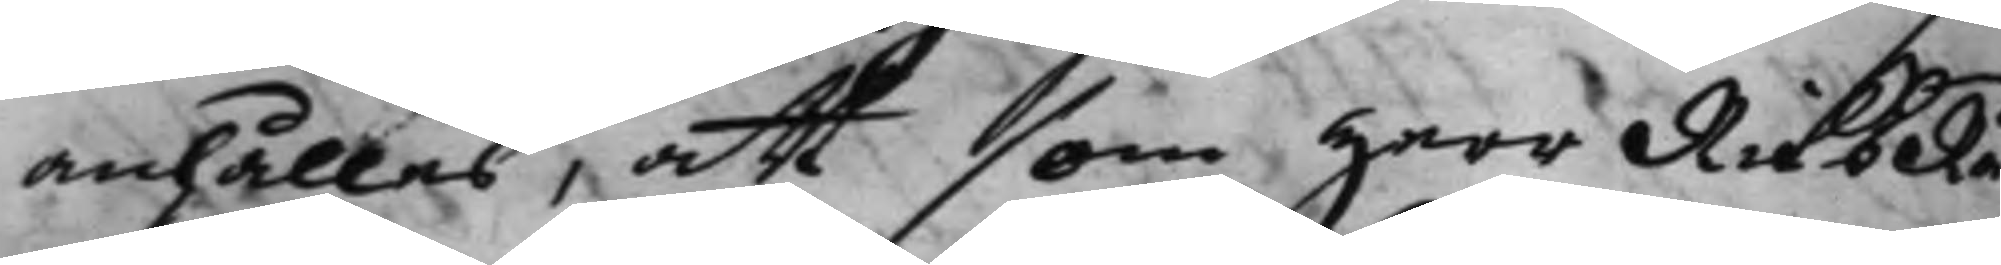anhålles, att som Herr RiksRå¬
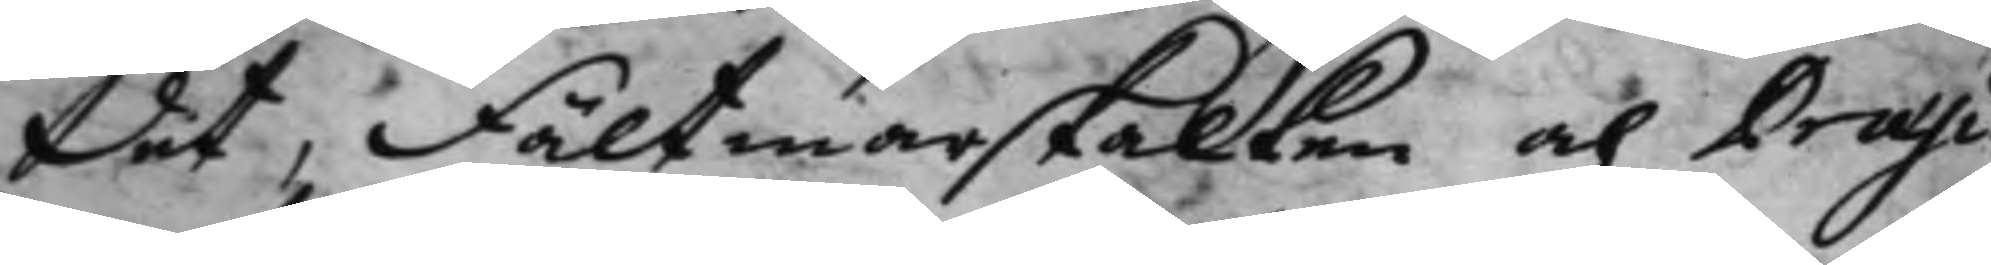det, Fältmarskalken och Præsi¬
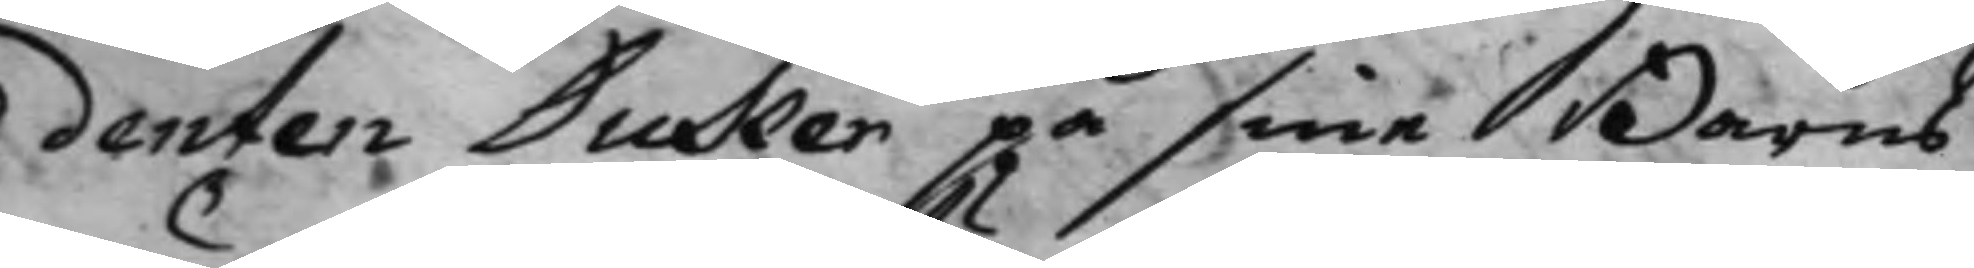denten Duker på sina Barns
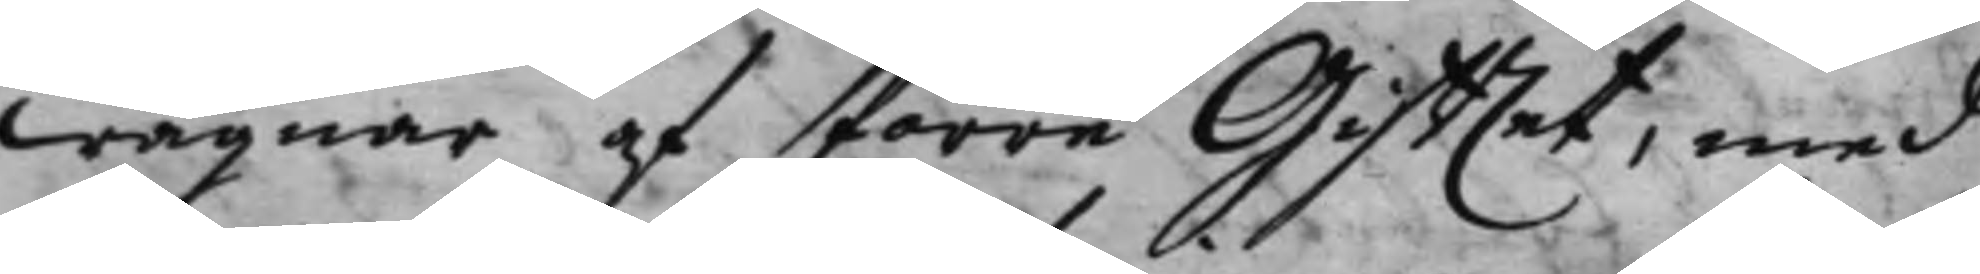wägnar af förre Gifftet, med
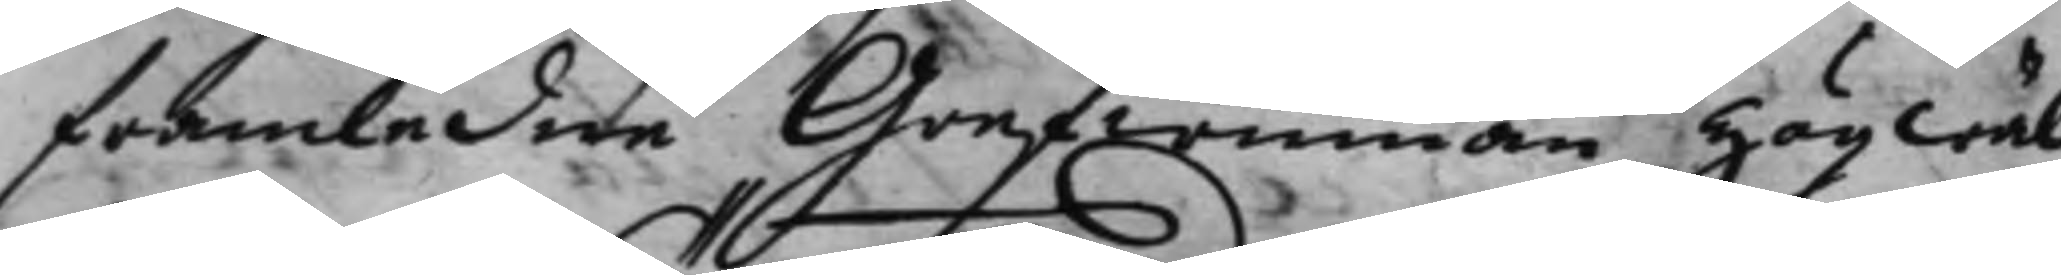framledne Grefwinnan Högwäl¬
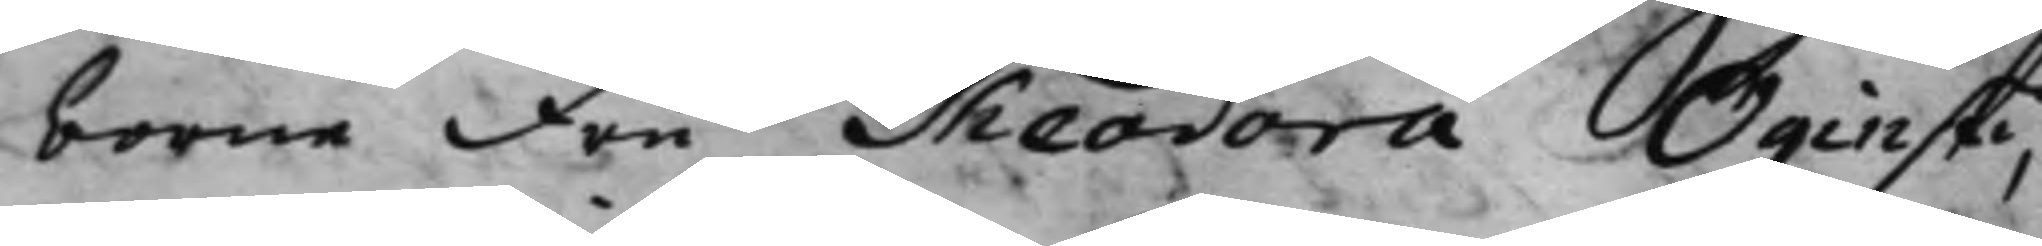borne Fru Theodora Oginska;
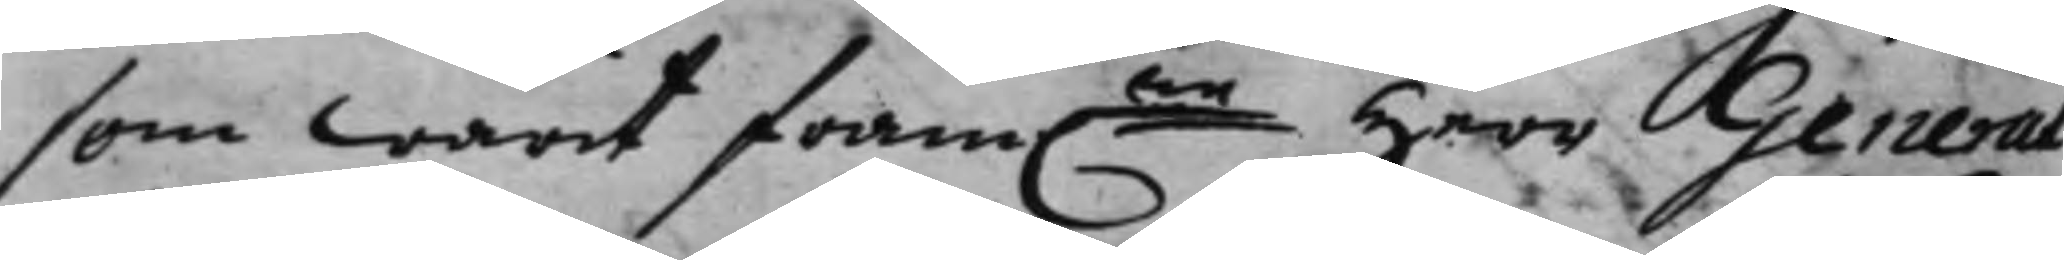som warit fram.ne Herr General¬
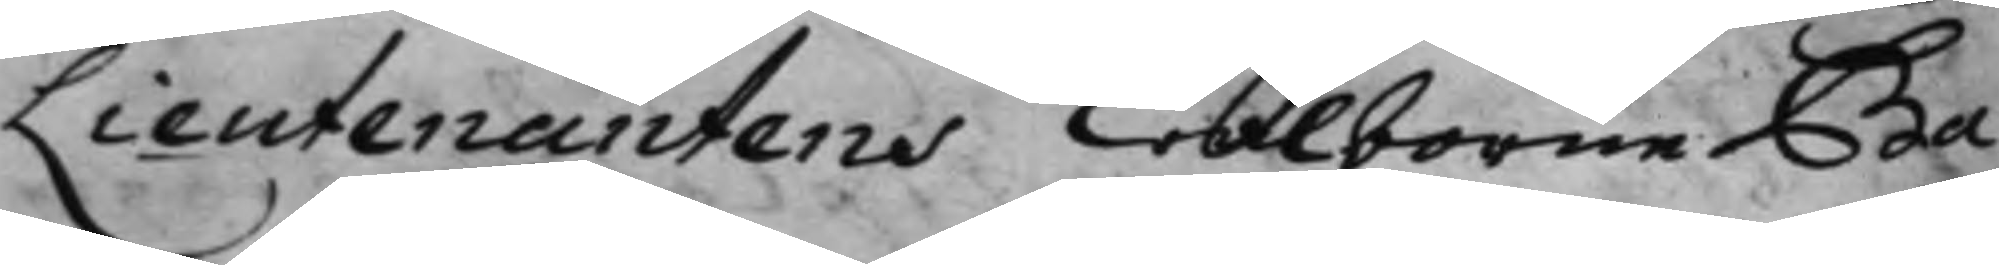Lieutenantens Wälborne Ba¬
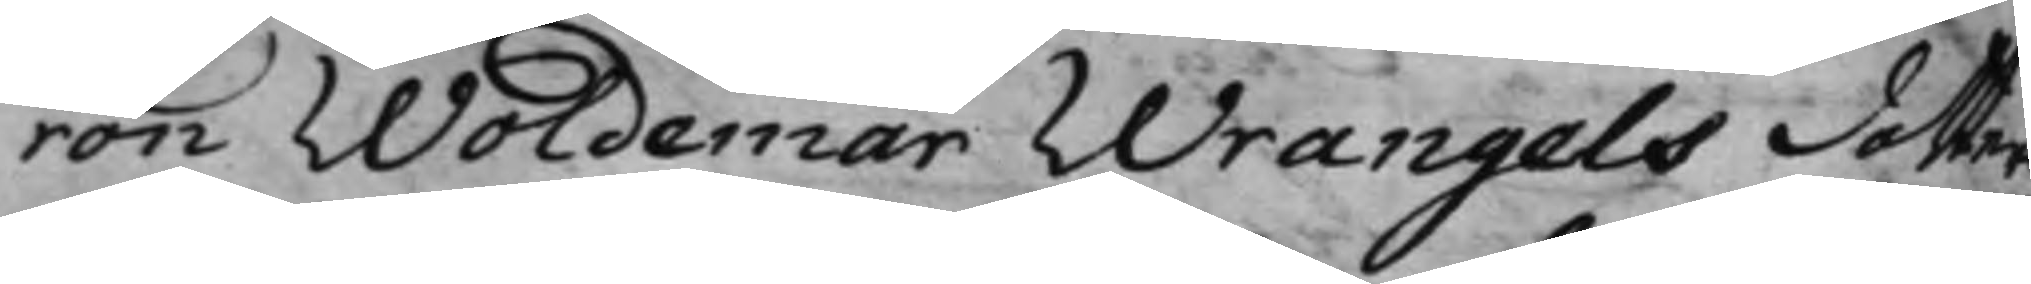ron Woldemar Wrangels dotters
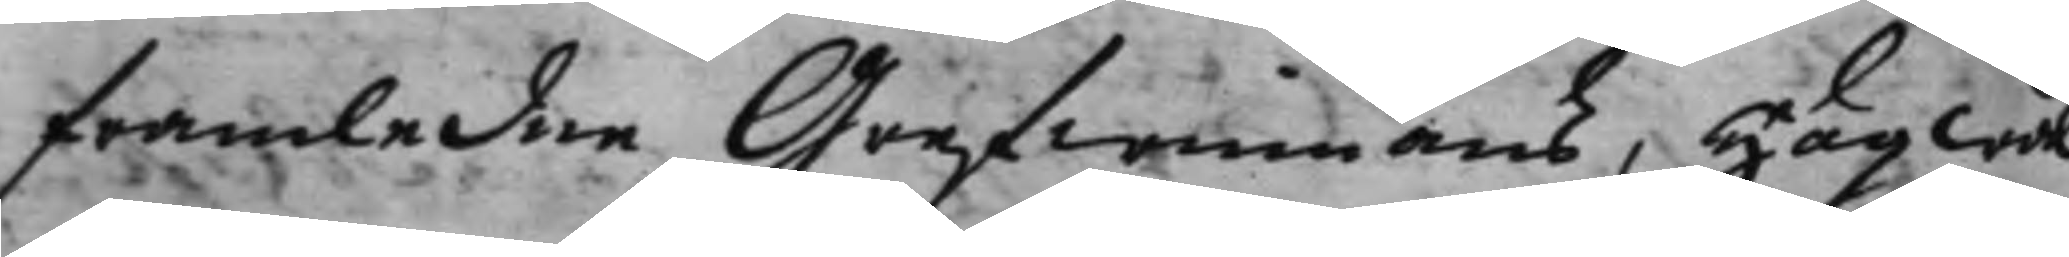framledne Grefwinnans, Högwäl¬
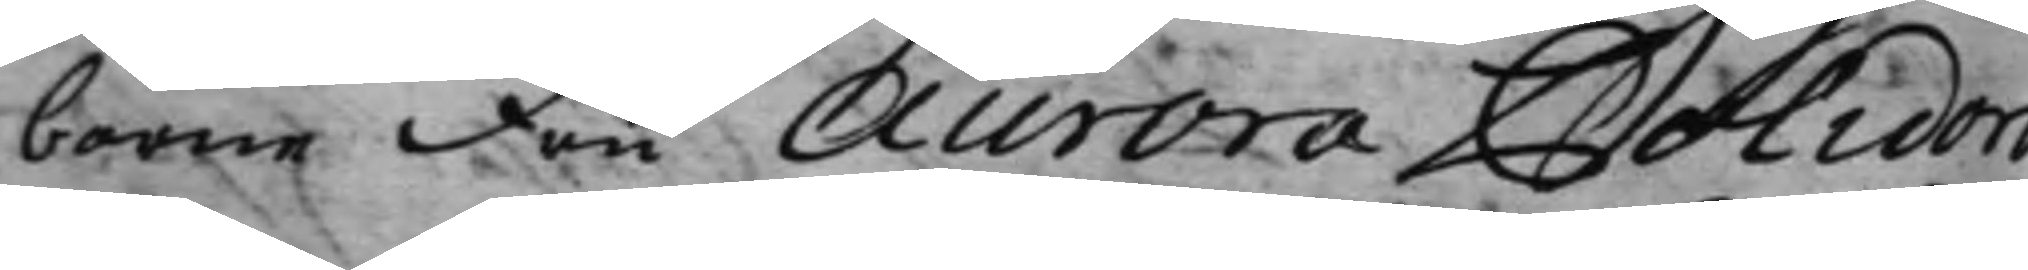borne Fru Aurora Polidora
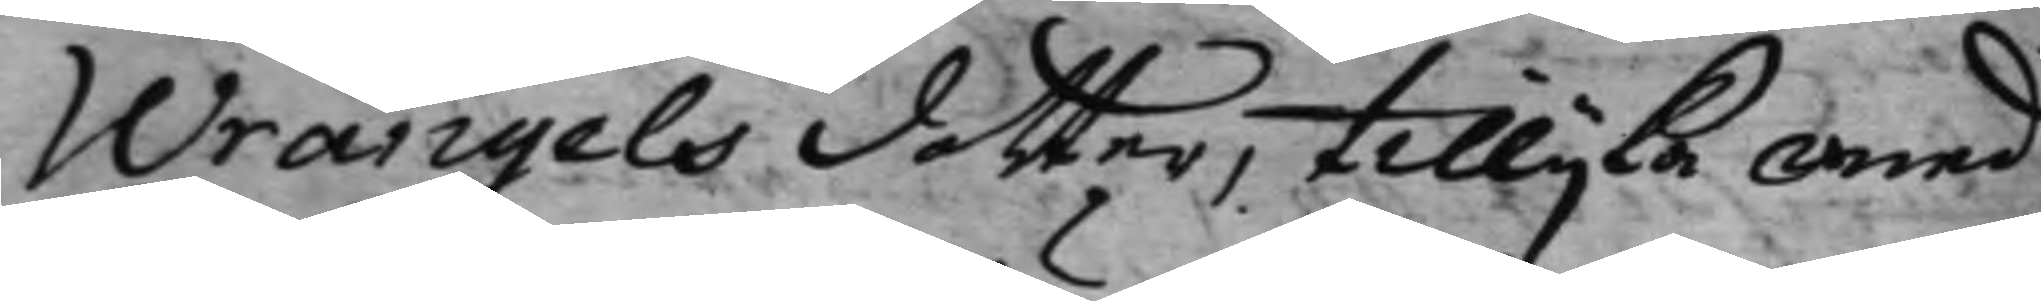Wrangels dotter, tillijka med
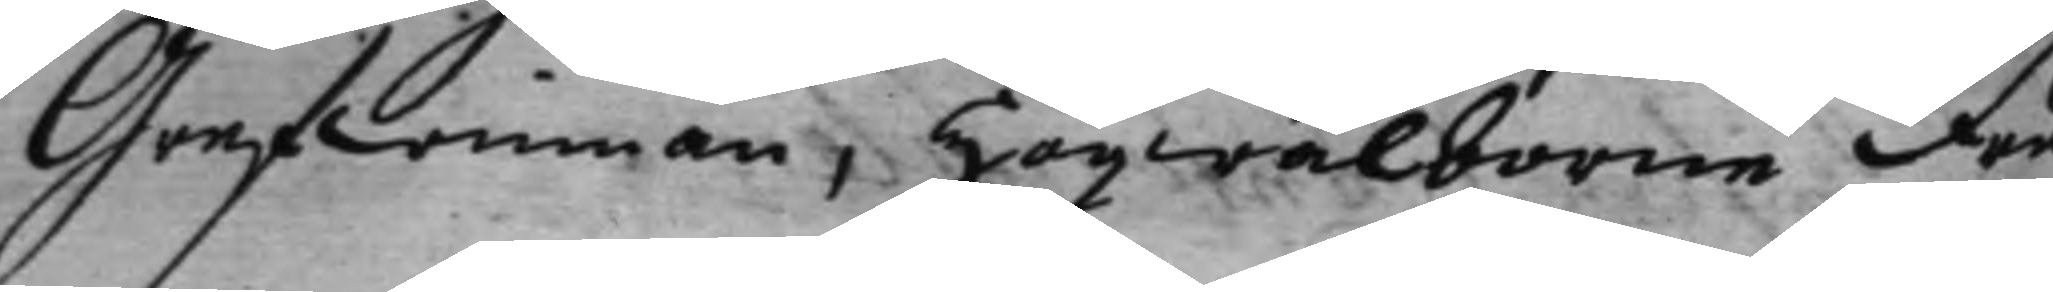Grefwinnan, högwälborne Fru
